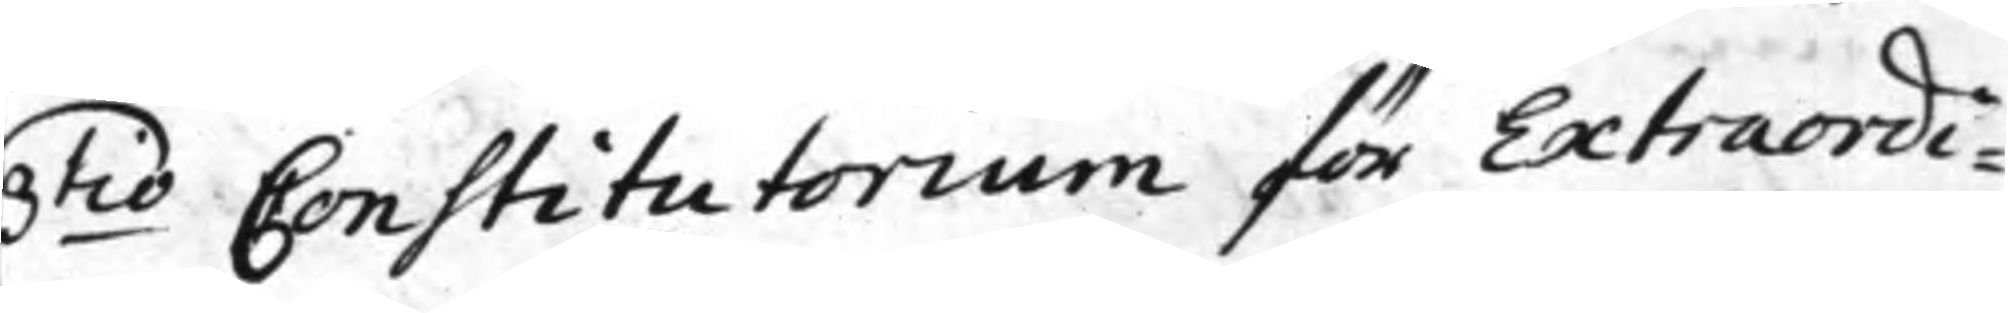3.tio Constitutorium för Extraordi¬
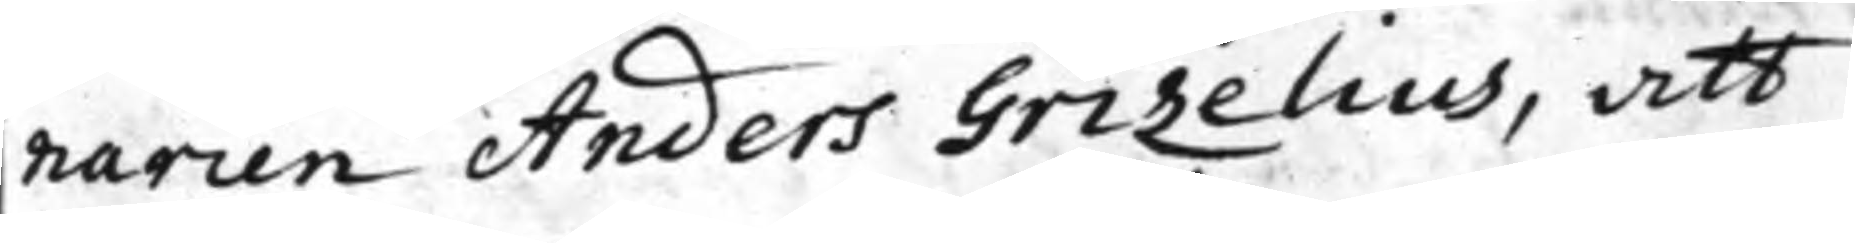narien Anders Grizelius, att
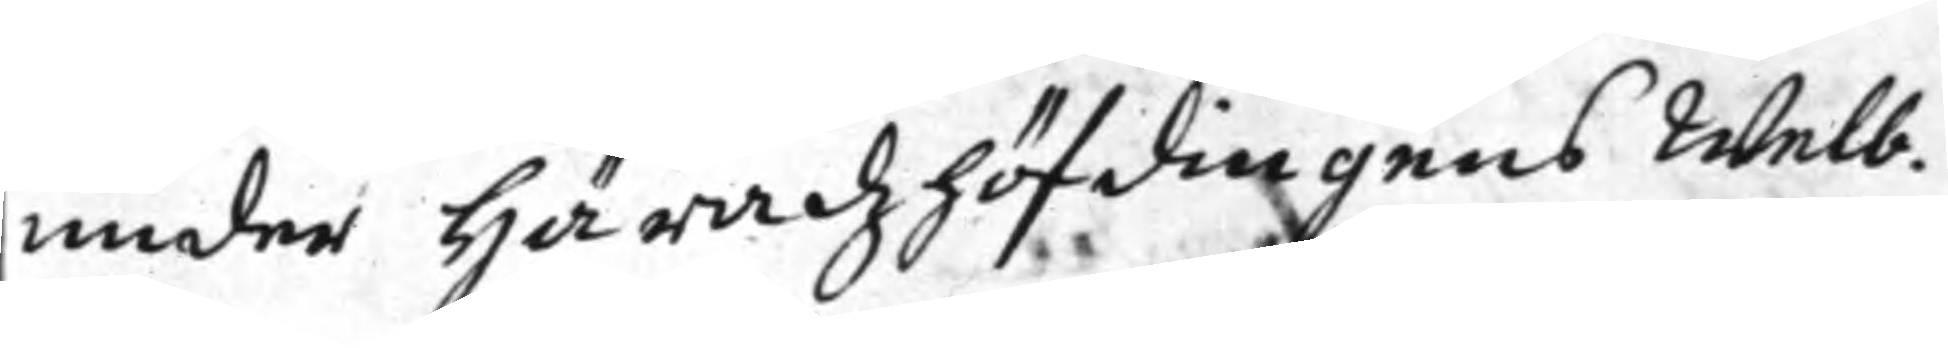under Häradzhöfdingens Welb.
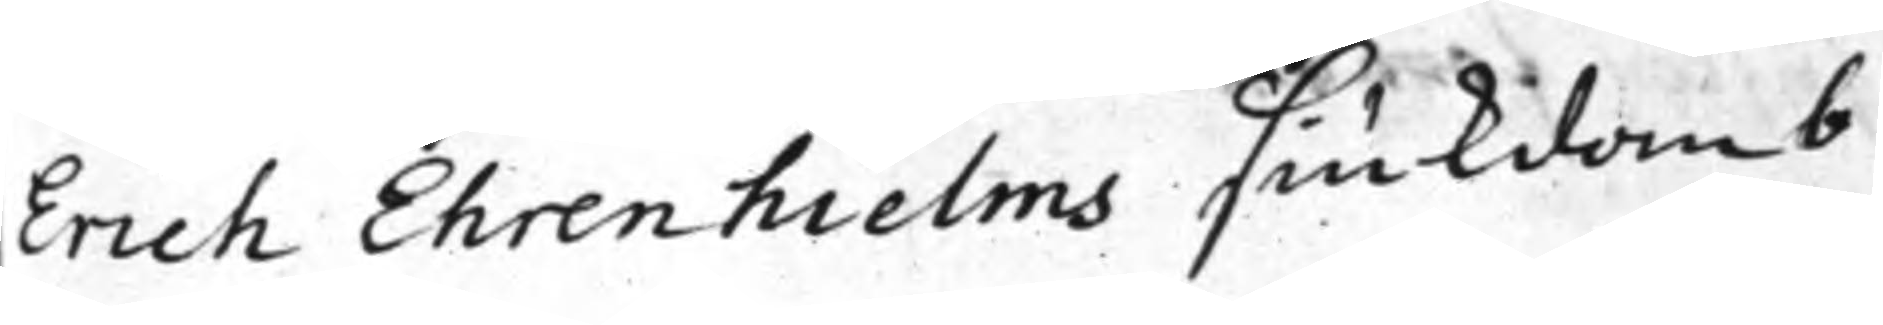Erich Ehrenhielms siukdomb
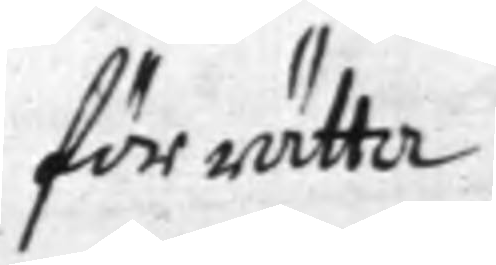förrätta
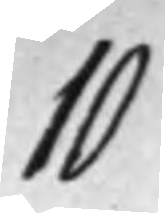10
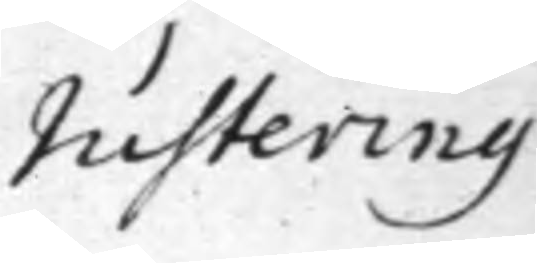Justering
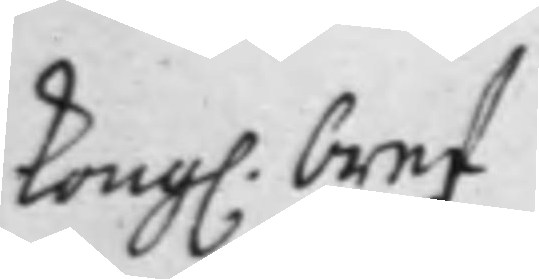Kong. bref
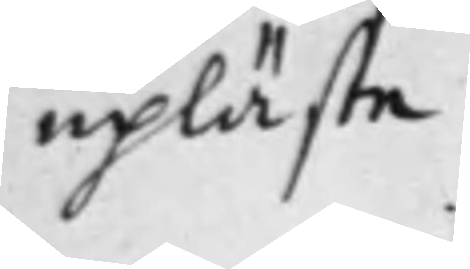upläste
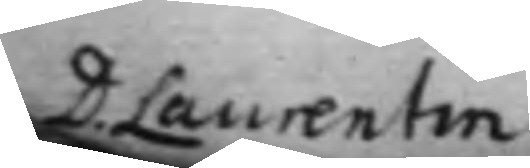D. Laurentin
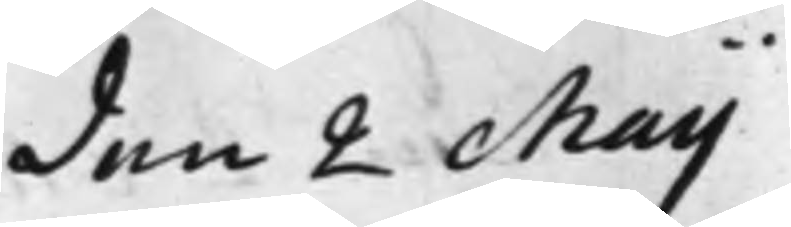den 2 Maij
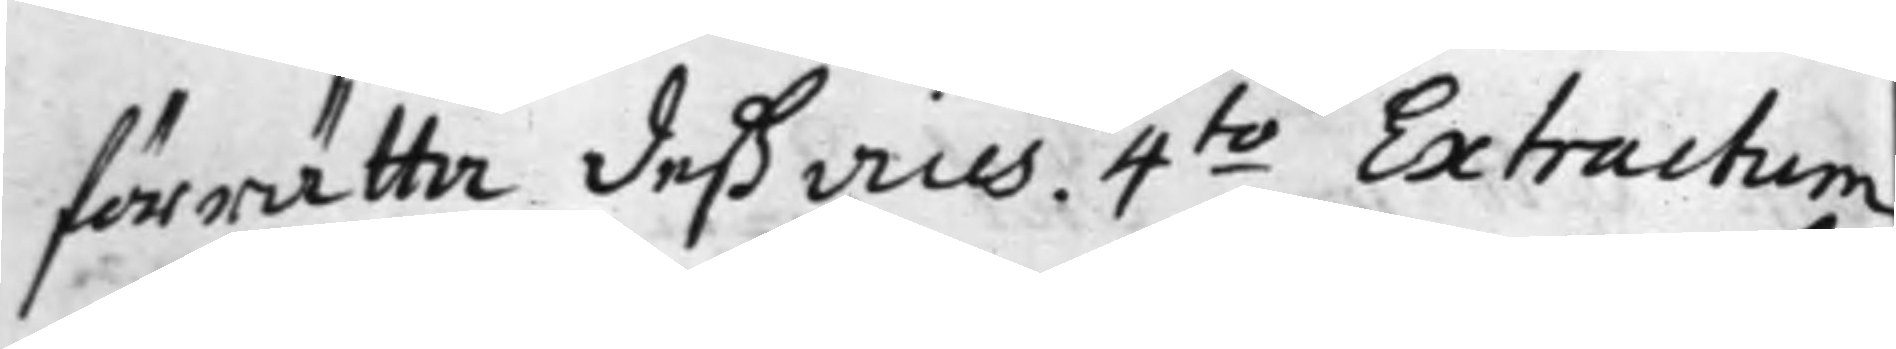förrätta deß vices. 4.to Extractum
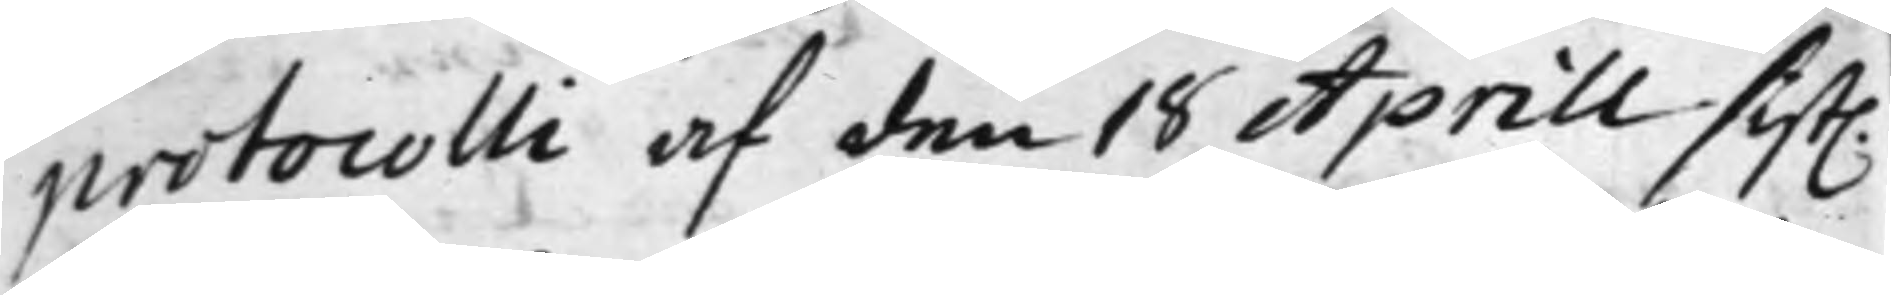protocolli af den 18 Aprill sist.
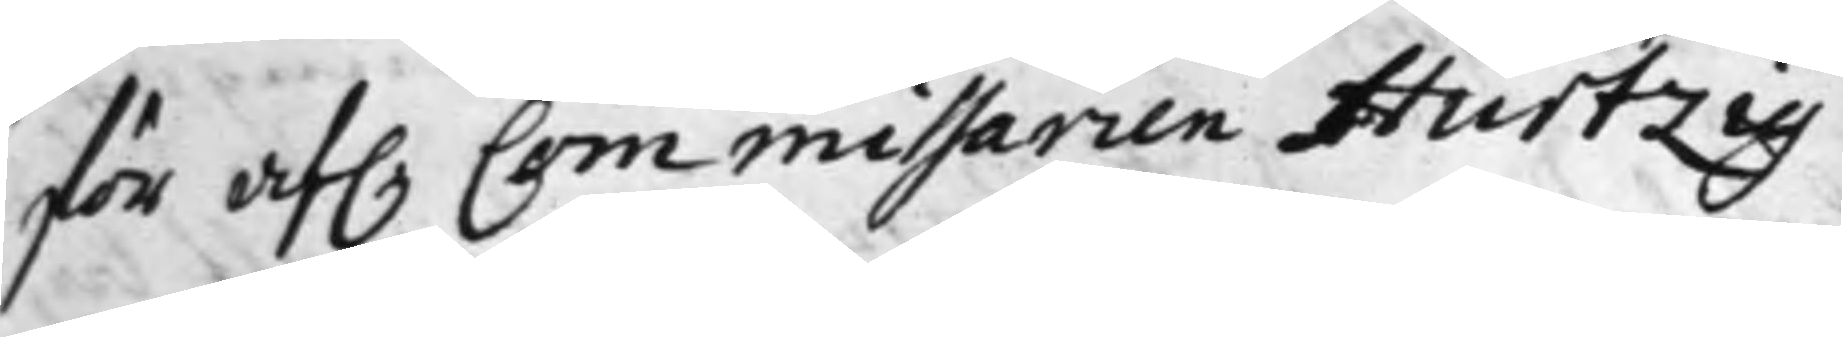för af. Commissarien Hurtzig
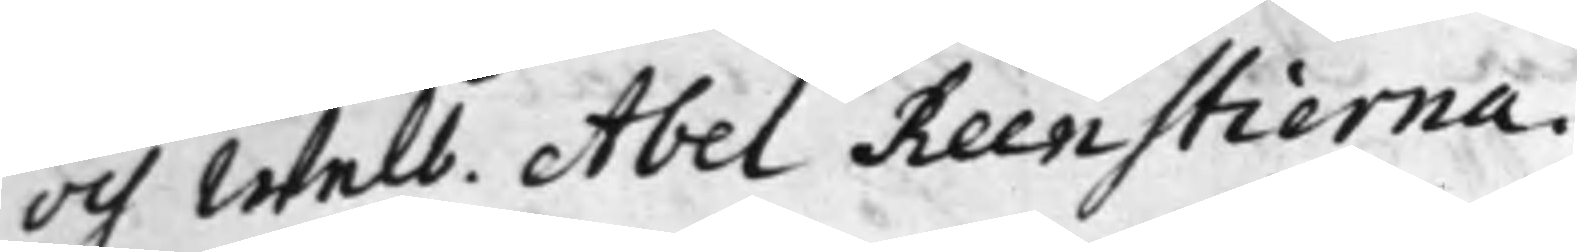och Welb. Abel Renstierna.
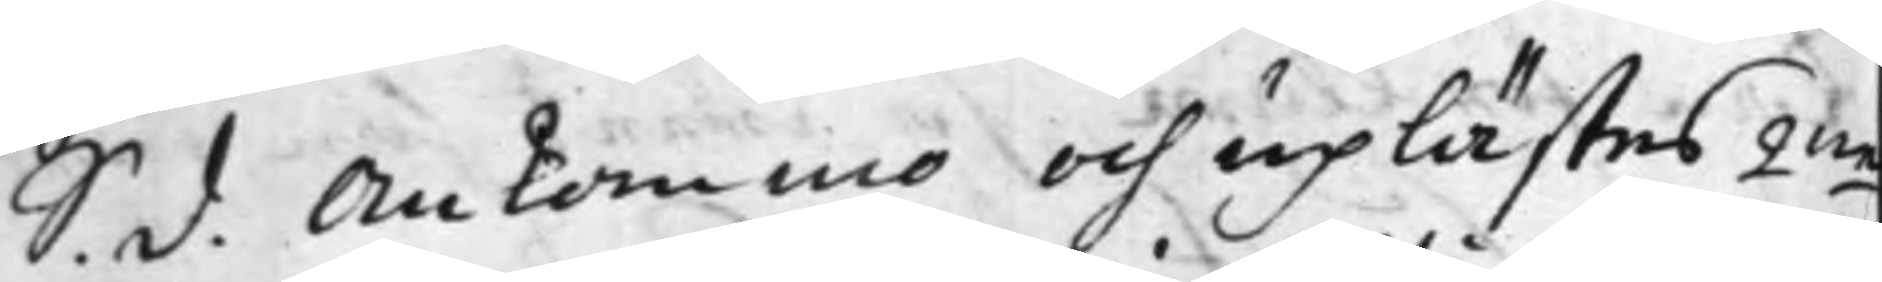S. d. Ankommo och uplästes 2.ne
